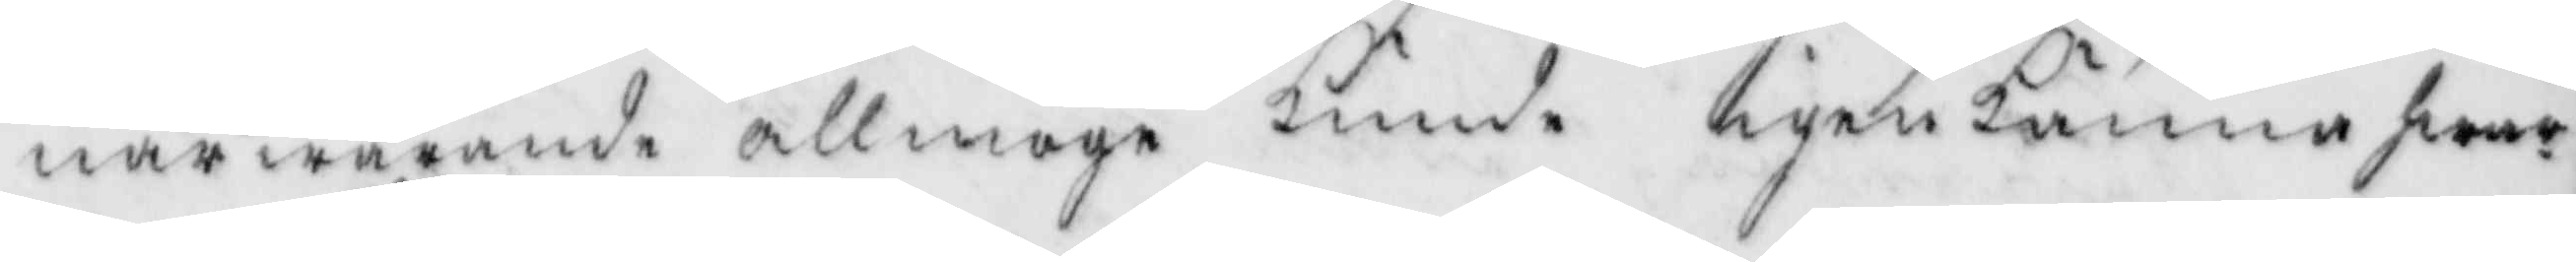närwarande allmoge kunde igenkänna hwar¬
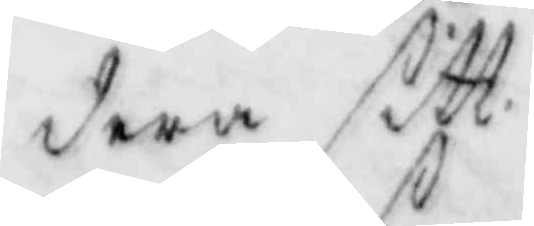dera sitt.
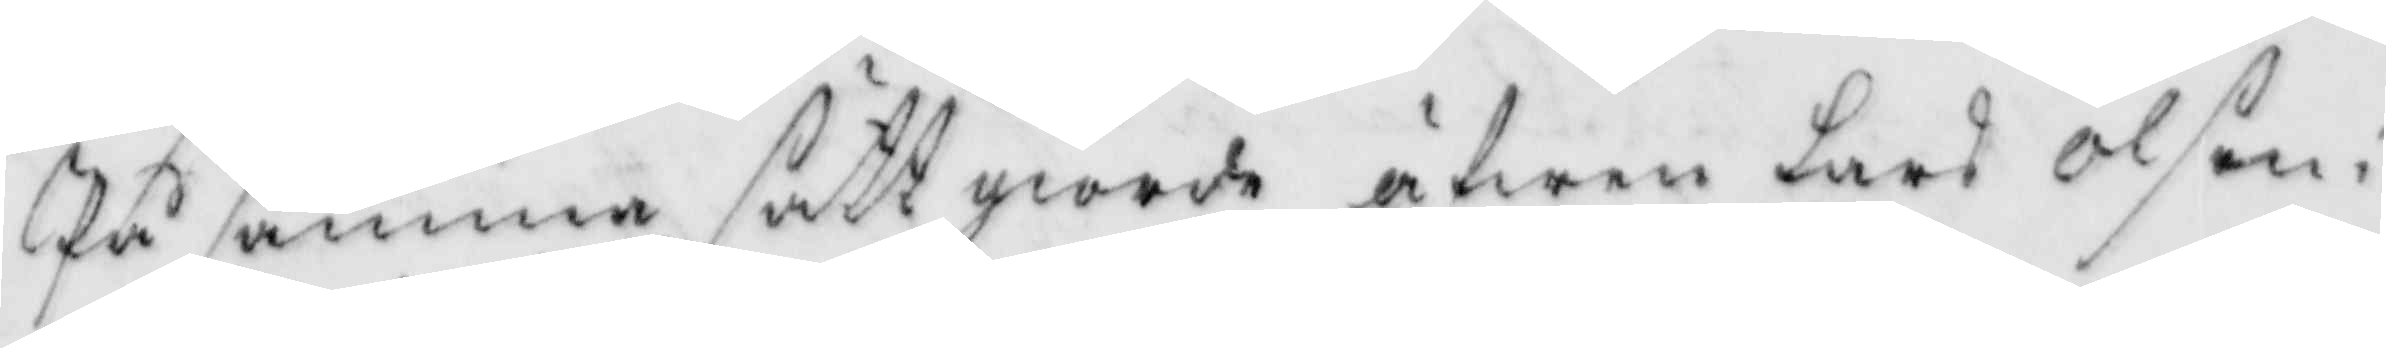På samma sätt giorde äfwen Lars Olson i
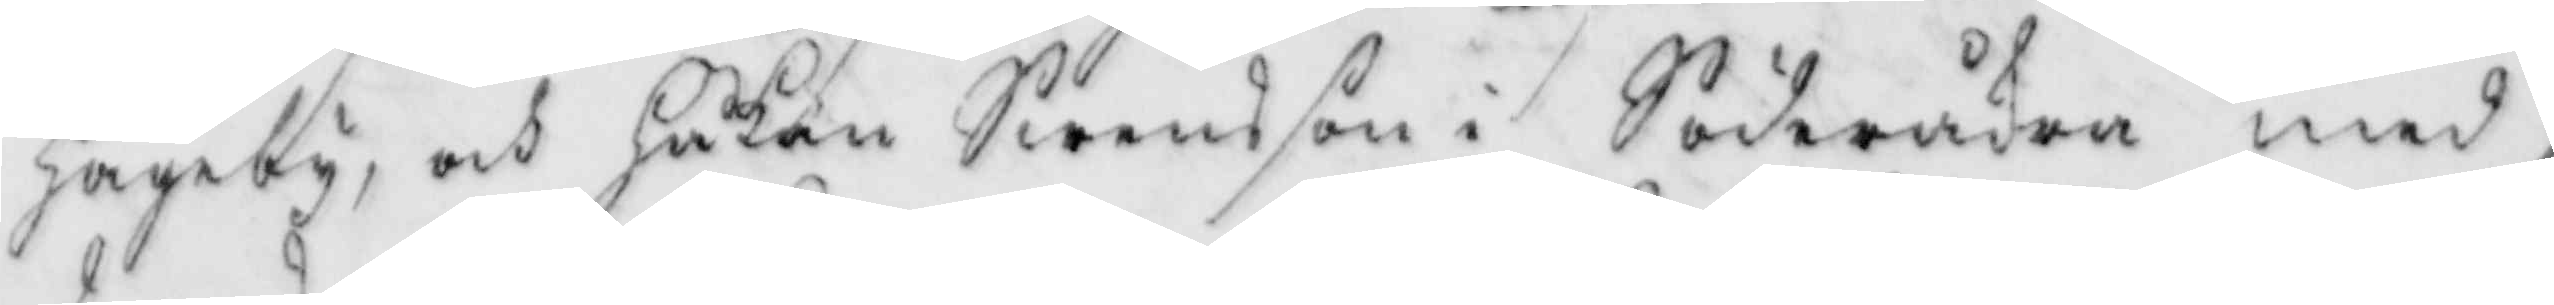Hageby, och Håkan Swensson i Söderåkra med
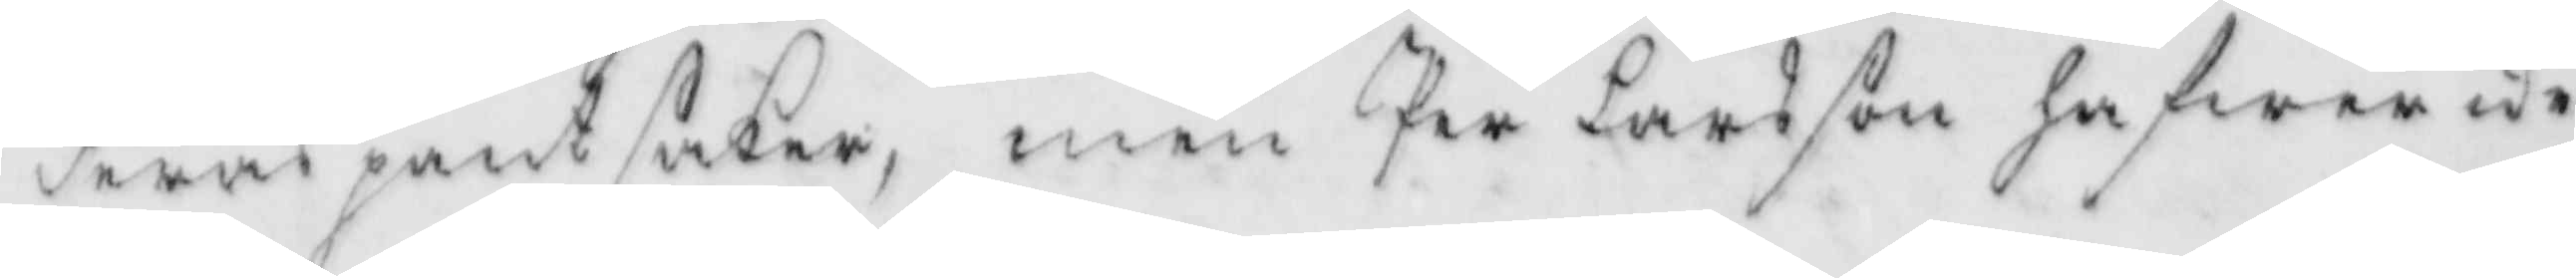deras pant saker, men Per Larsson hafwer ocke
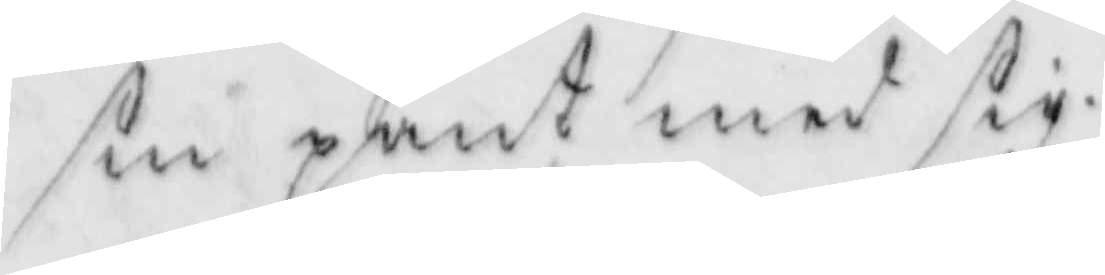sin pant med sig.
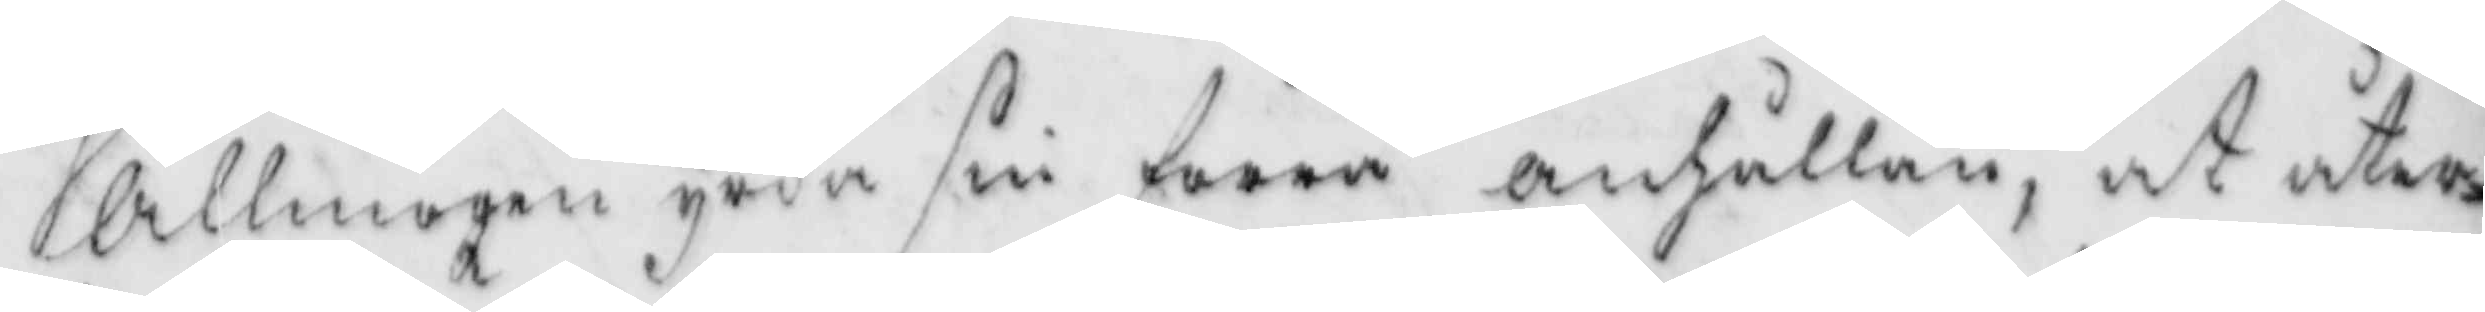llmogen yrka sin förra anhållan, at åter¬
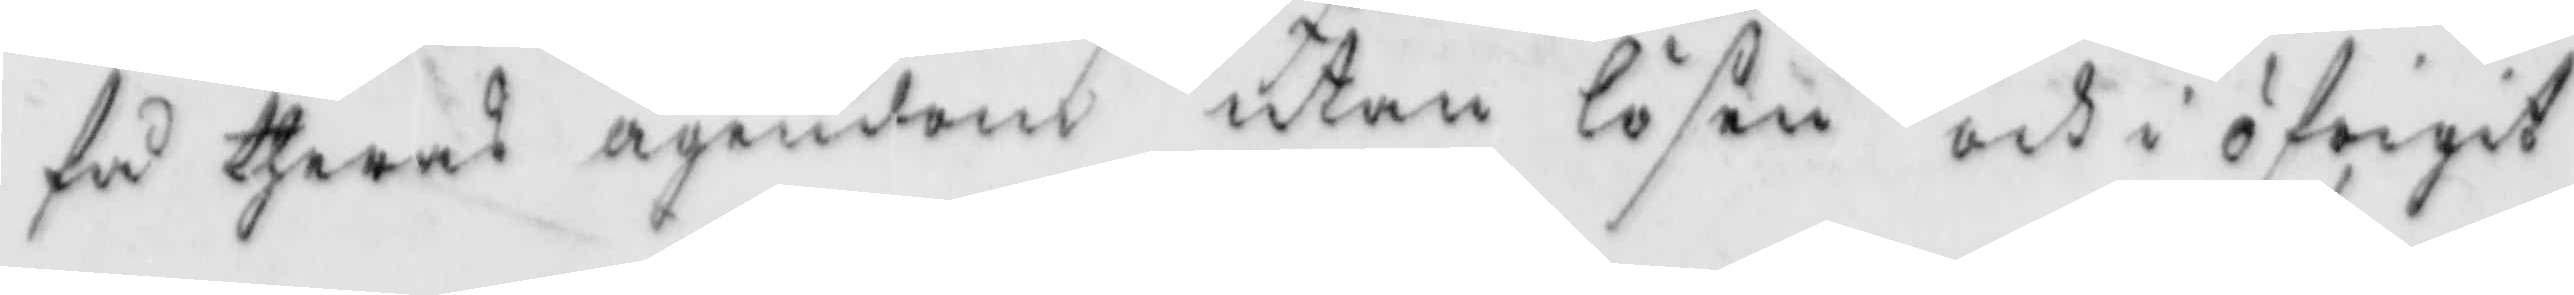få theras ägendom utan lösen och i öfrigir
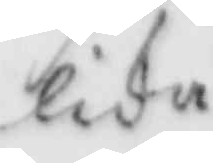lida
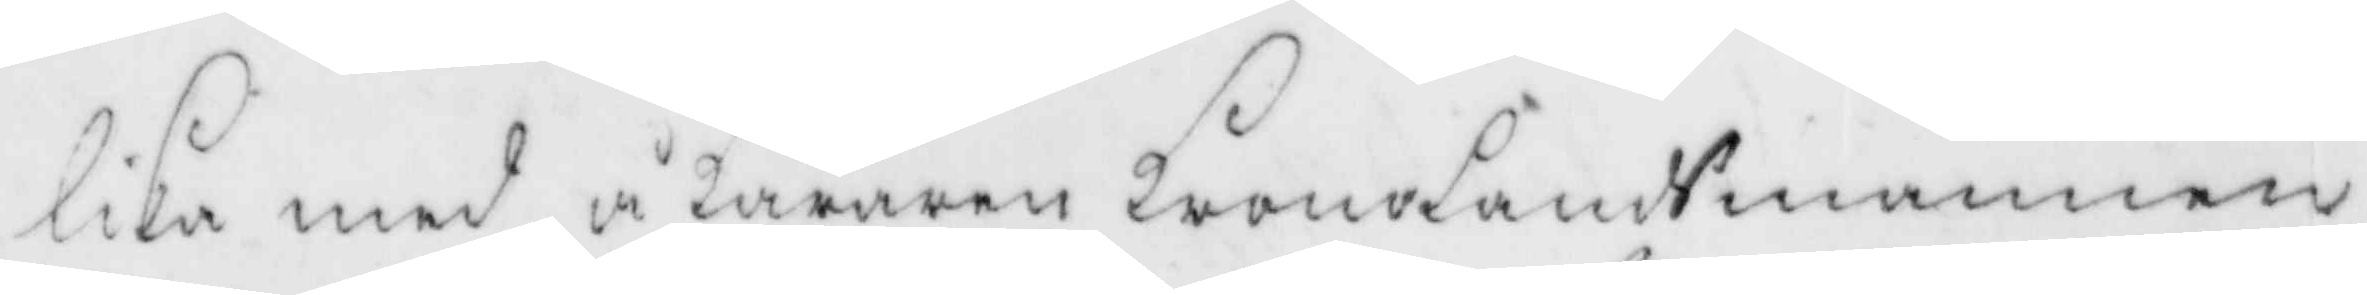lika med å käraren kronoländsmannen
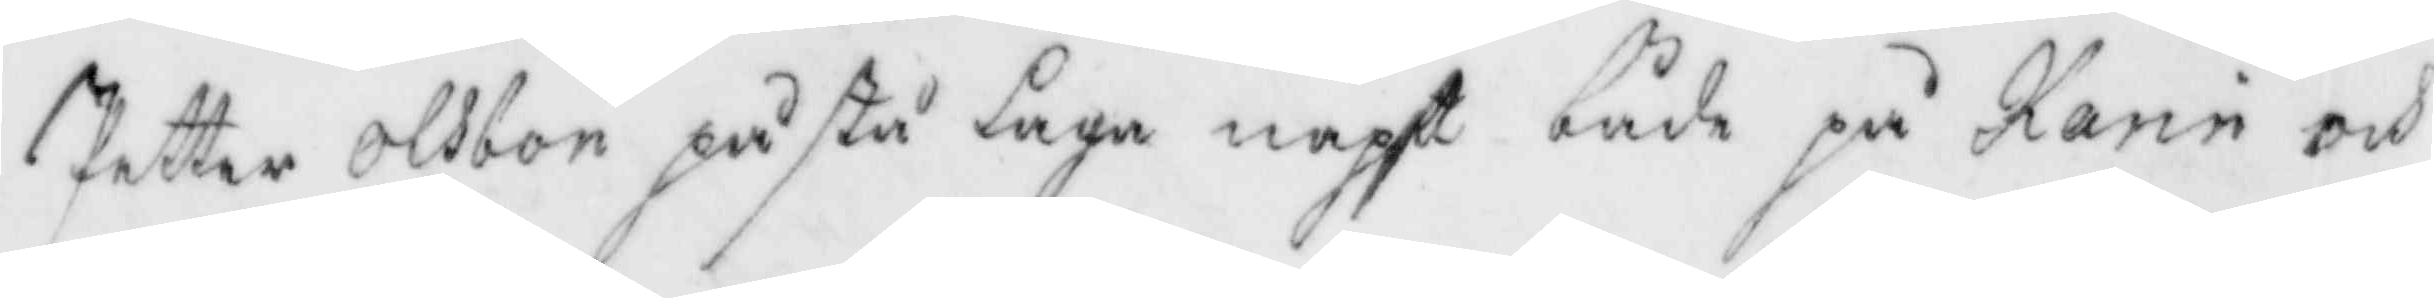Petter Olsbon påstå laga näpst både på Karin och
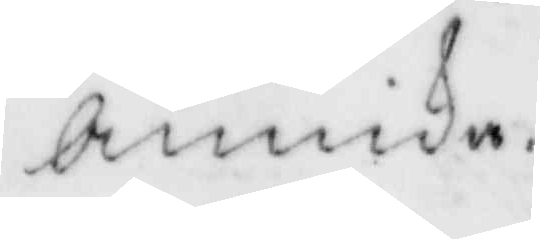Annika.
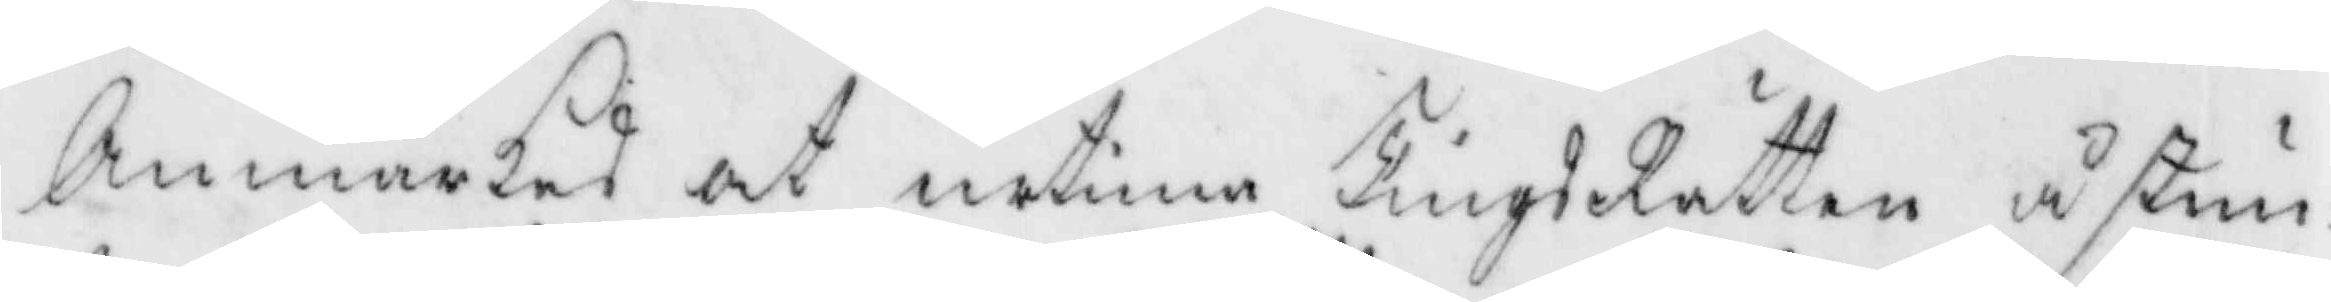Anmärkes at urtima TingsRätten åstun¬
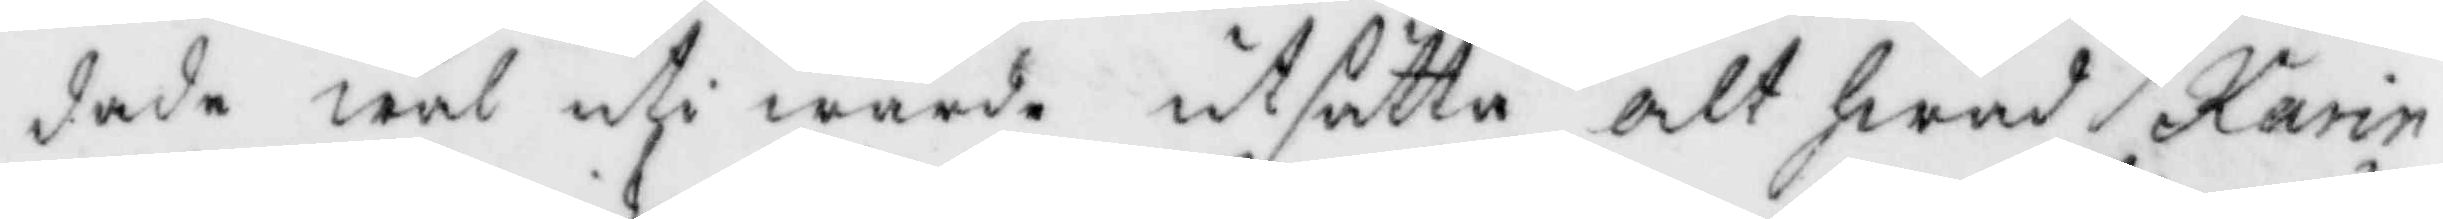dade wäl uti wärde utsätta alt hwad Karin
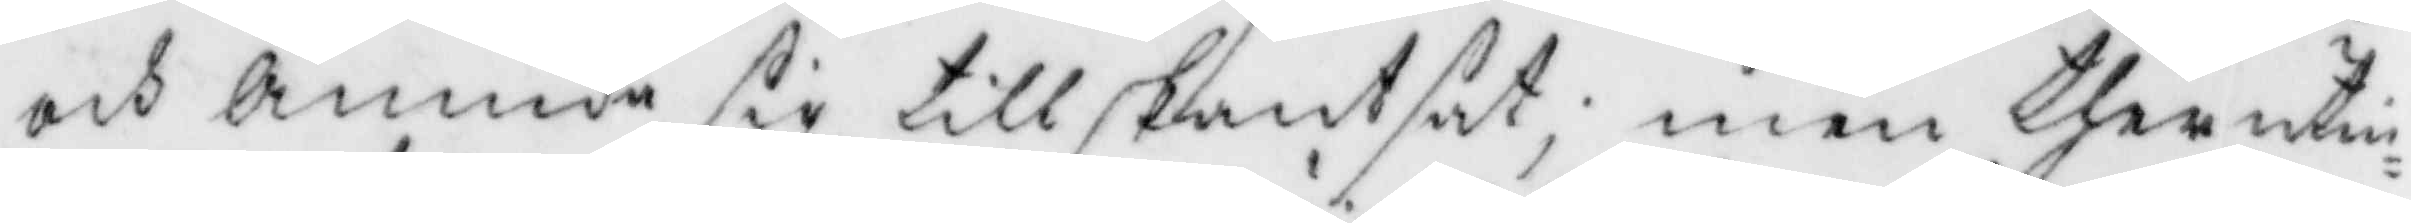och Annika sig tillskantsat; men ther uti¬
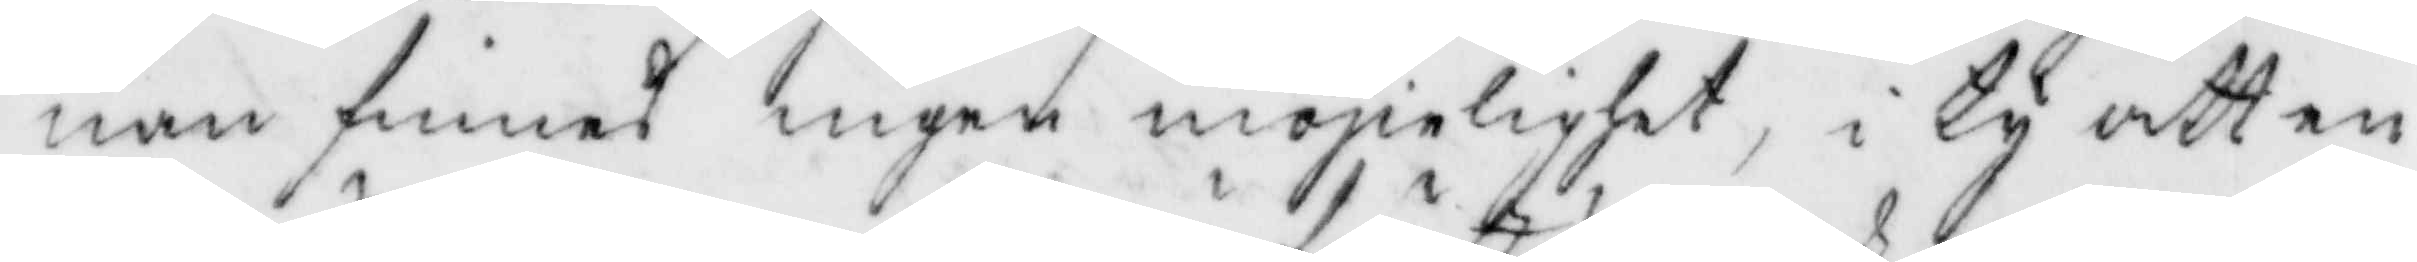nan finnes ingen möjielighet, i ty att en
